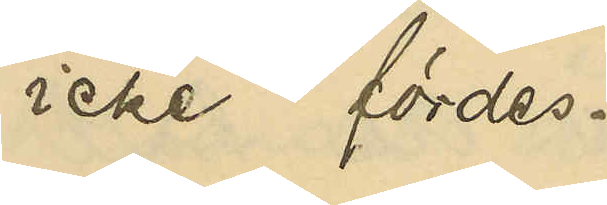icke fördes.
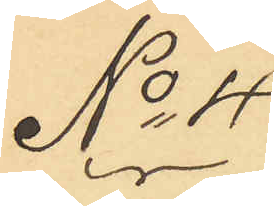No 4
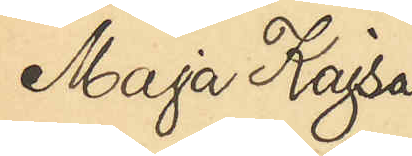Maja Kajsa
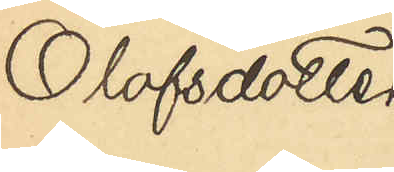Olofsdotter
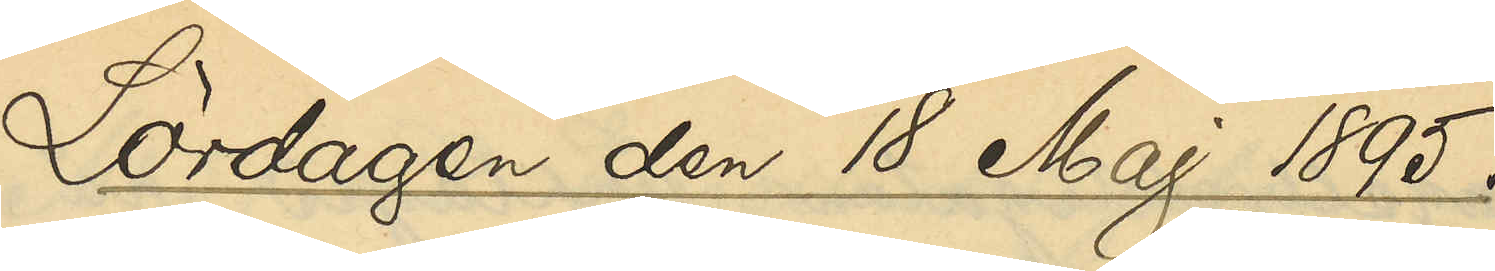Lördagen den 18 Maj 1895.
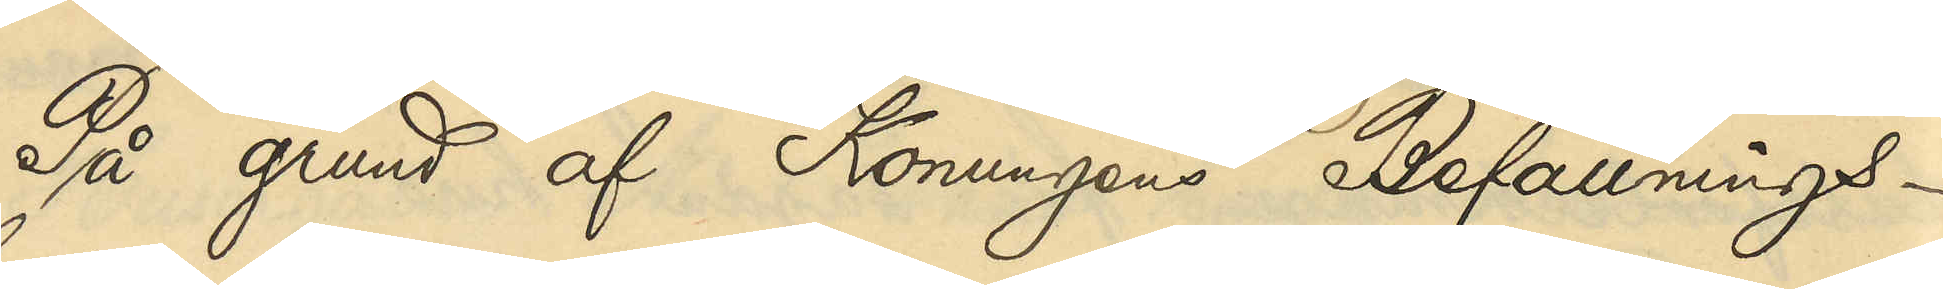På grund af Konungens Befallnings¬
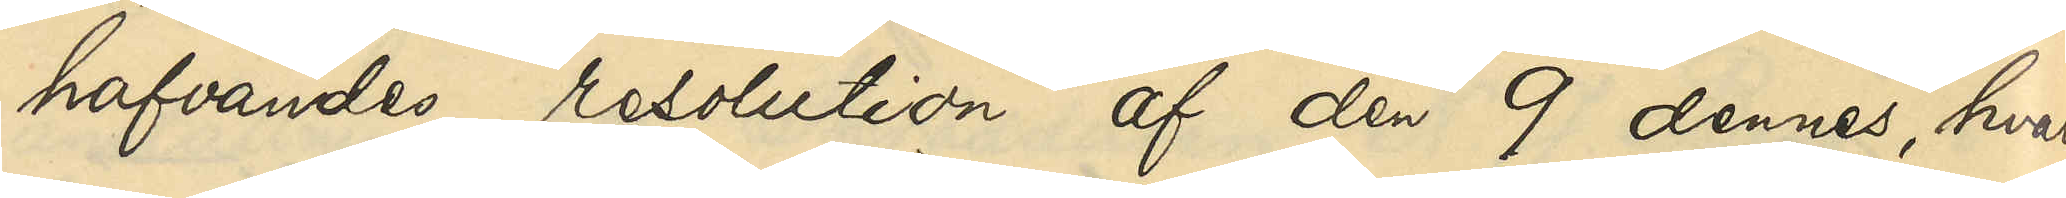hafvandes resolution af den 9 dennes, hvari¬
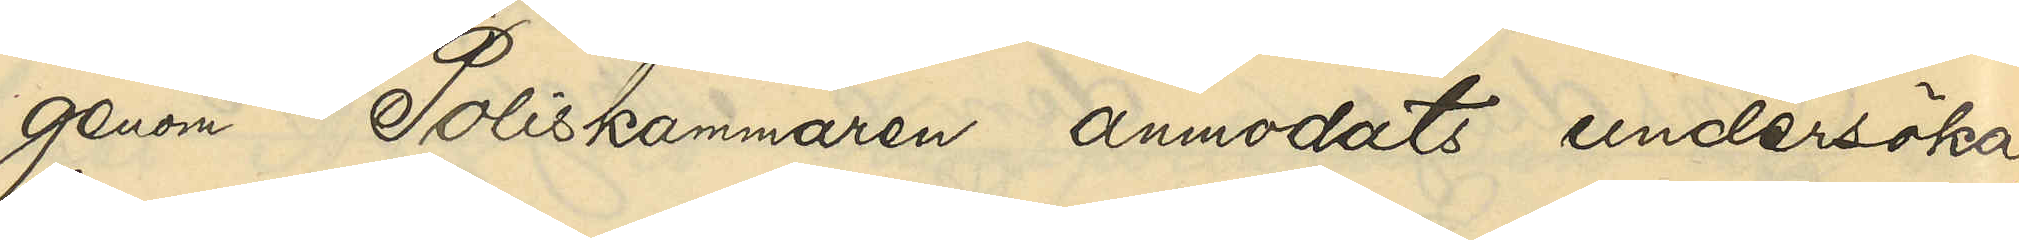genom Poliskammaren anmodats undersöka,
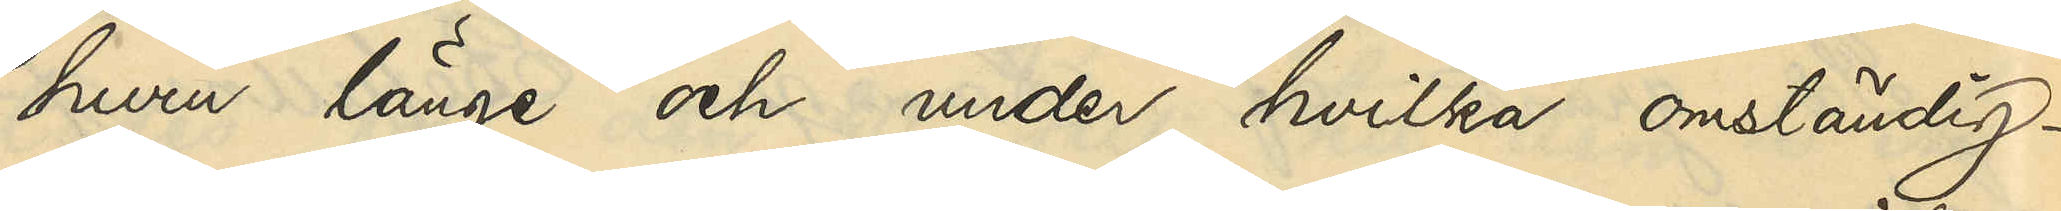huru länge och under hvilka omständig¬
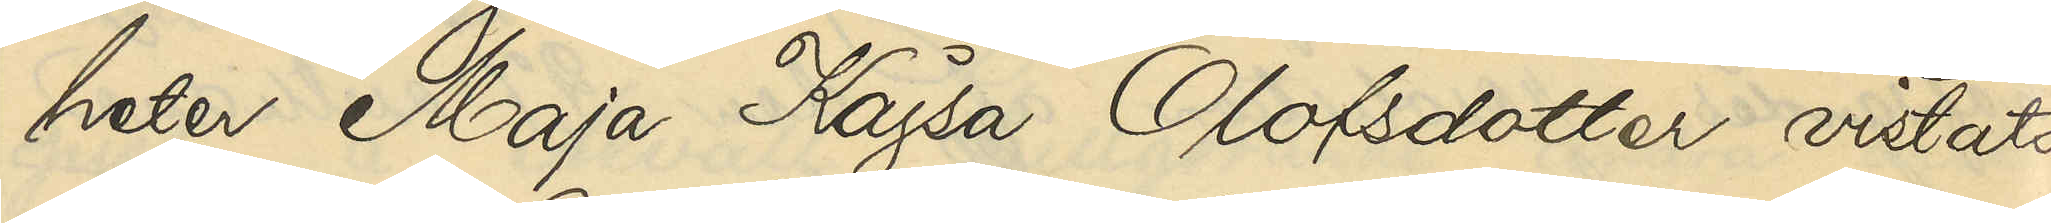heter Maja Kajsa Olofsdotter vistats 
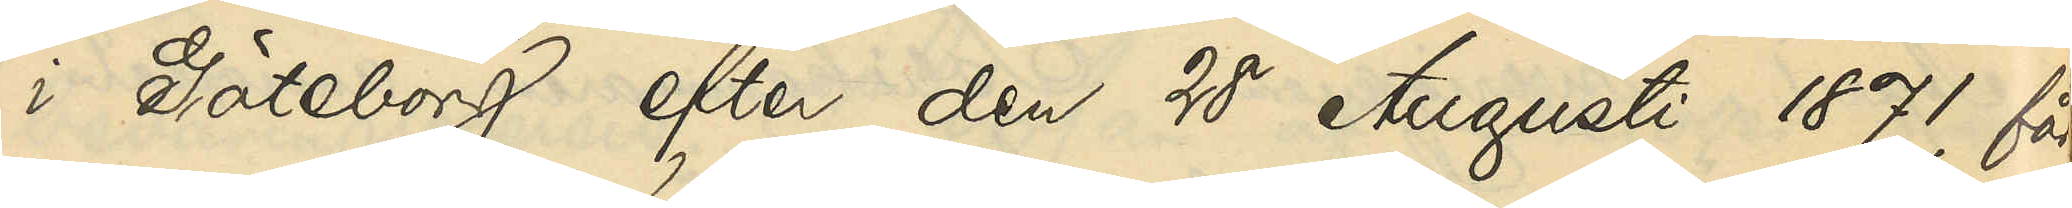i Göteborg efter den 28 Augusti 1871, får
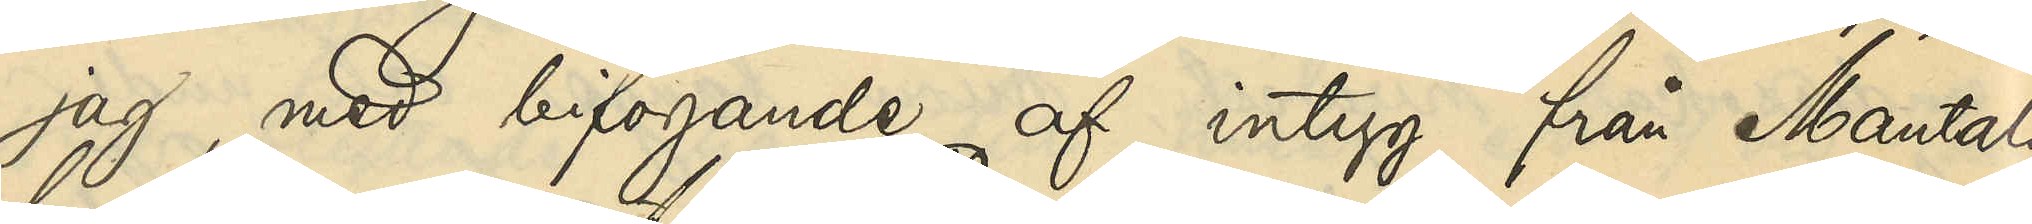jag, med bifogande af intyg från Mantals¬
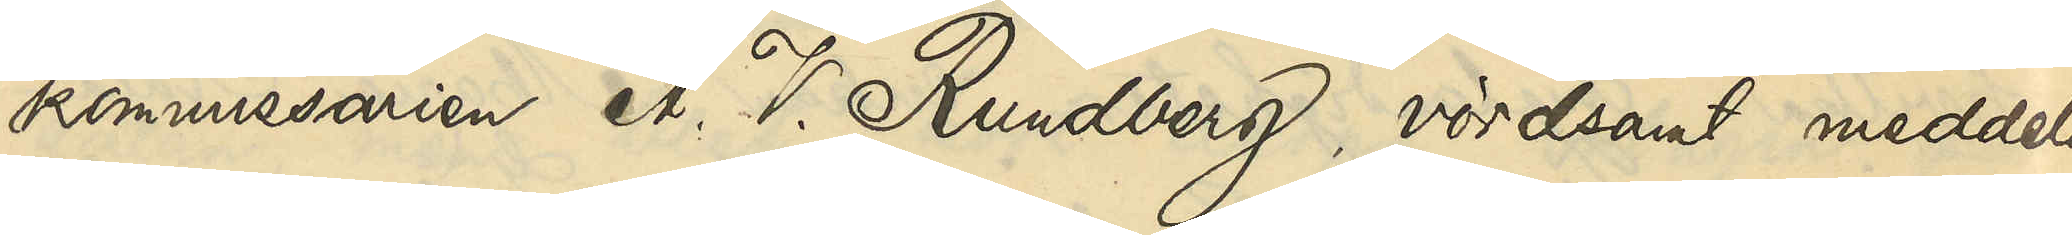kommissarien A. V. Rundberg, vördsamt meddela
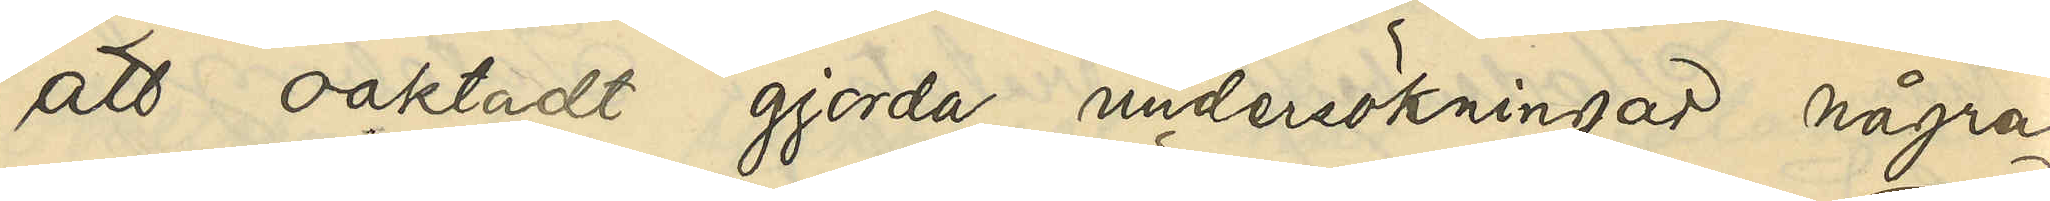att oaktadt gjorda undersökningar några
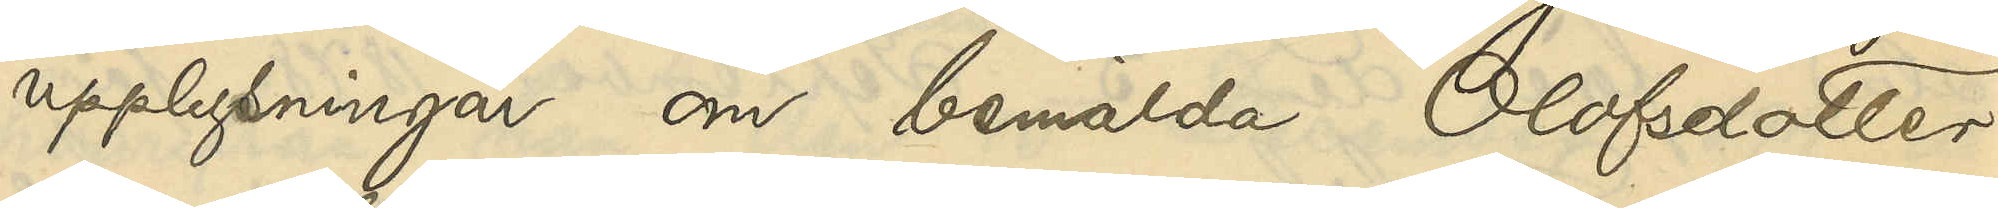upplysningar om bemälda Olofsdotter
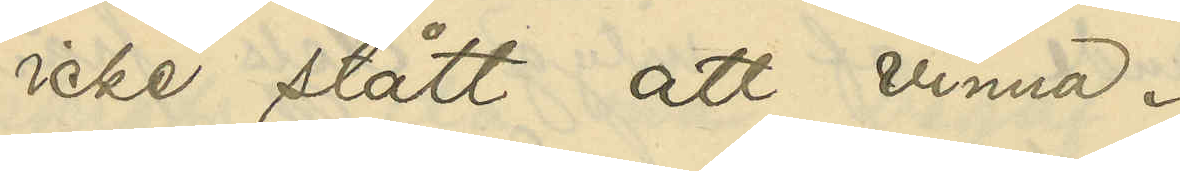icke stått att vinna.
